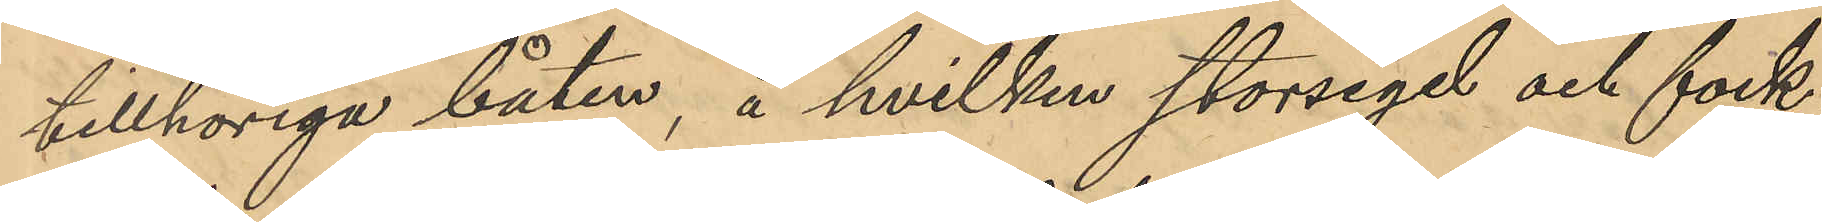tillhöriga båten, å hvilken storsegel och fock¬
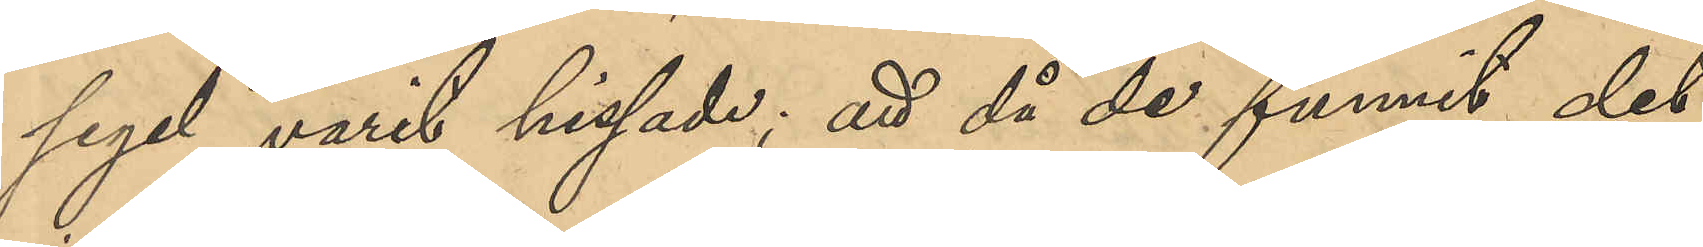segel varit hissade; att då de funnit det
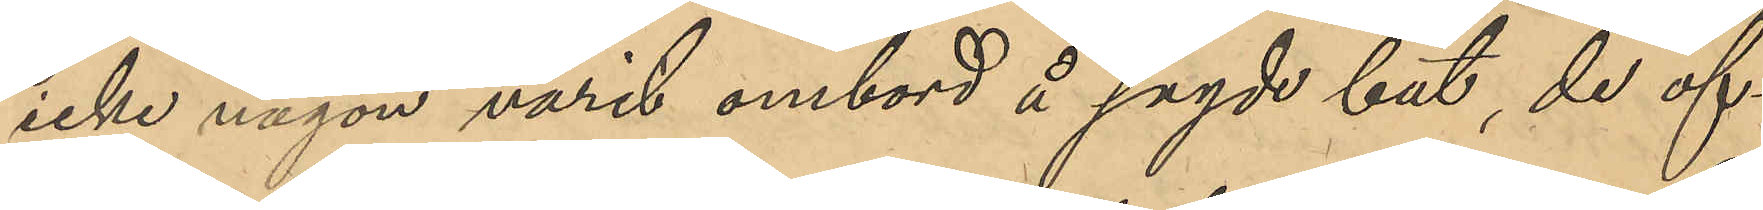icke någon varit ombord å sagde båt, de öf¬
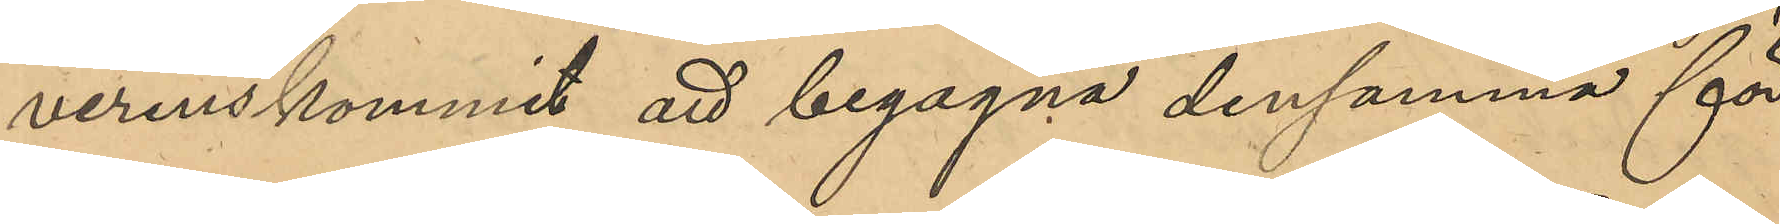verenskommit att begagna densamma för
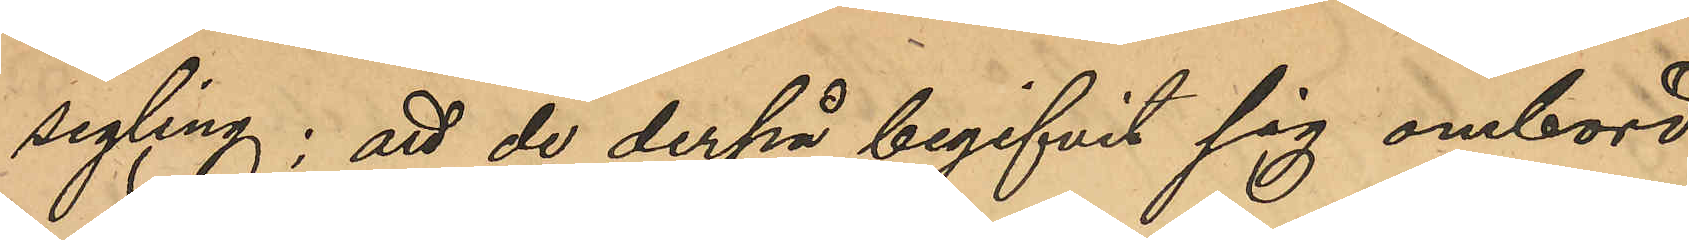segling; att de derpå begifvit sig ombord
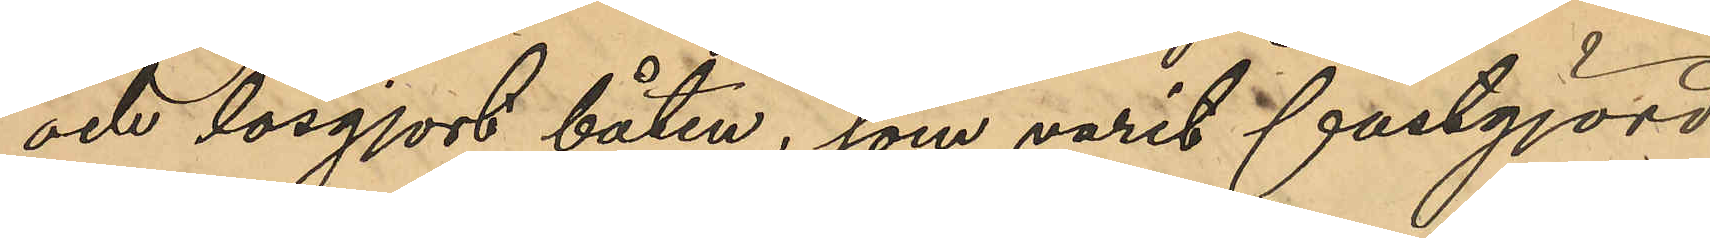och lösgjort båten, som varit fastgjord
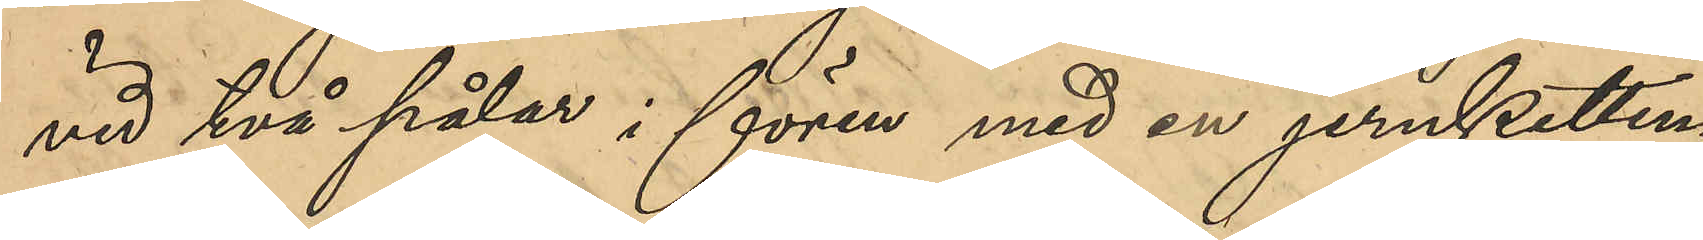vid två pålar i fören med en jernketting
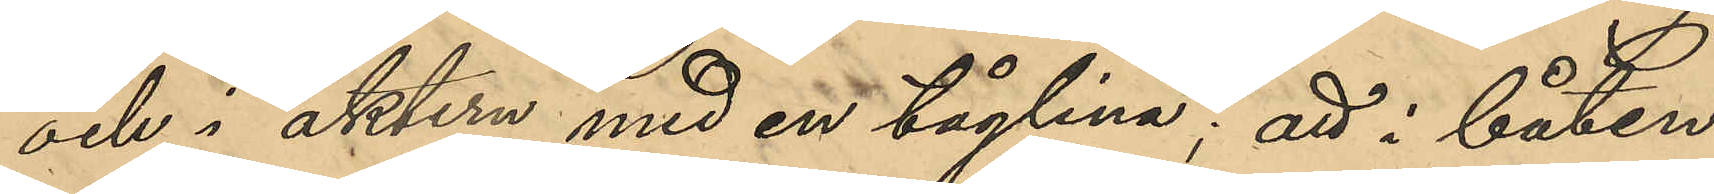och i aktern med en tåglina; att i båten
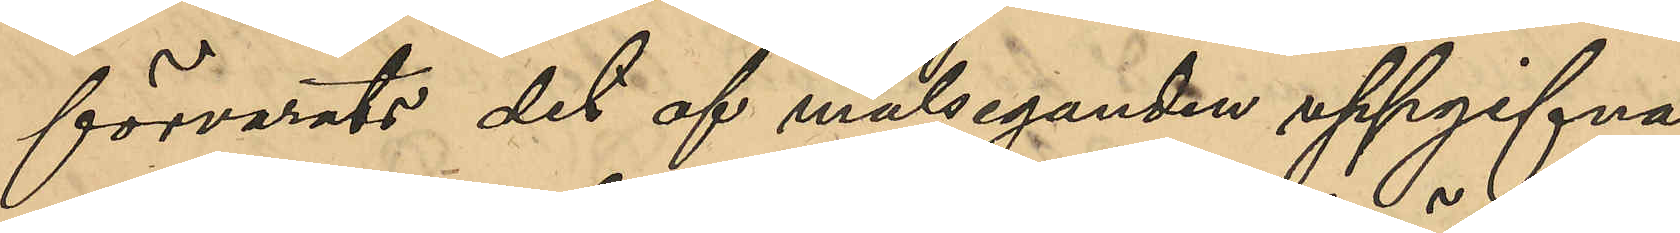förvarats det af målseganden uppgifna
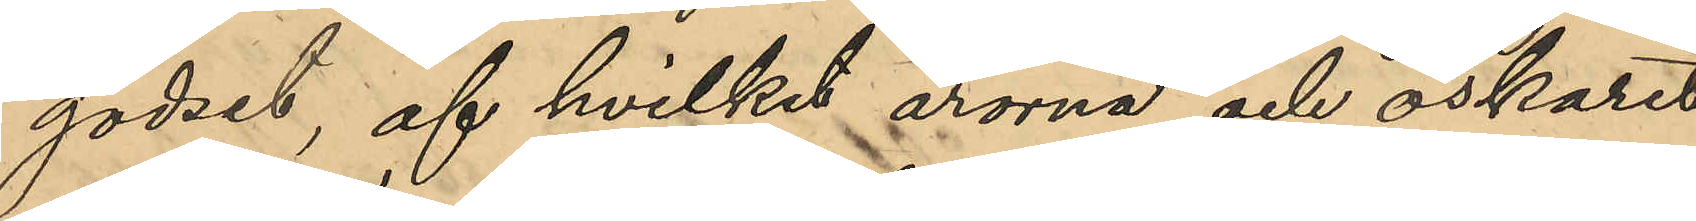godset, af hvilket årorna och öskaret
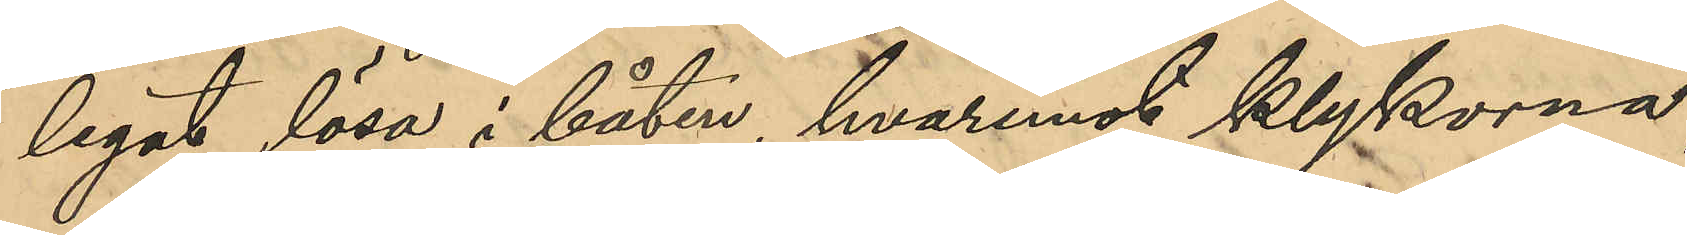legat lösa i båten, hvaremot klykorna,
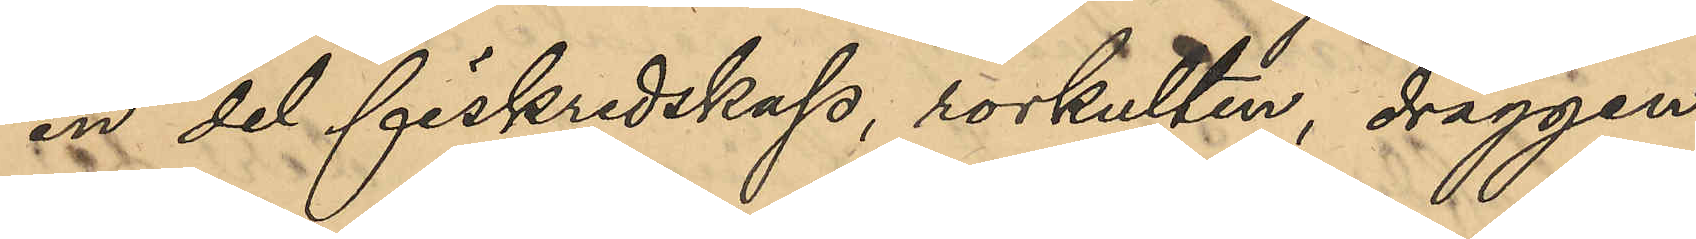en del fiskredskap, rorkulten, draggen
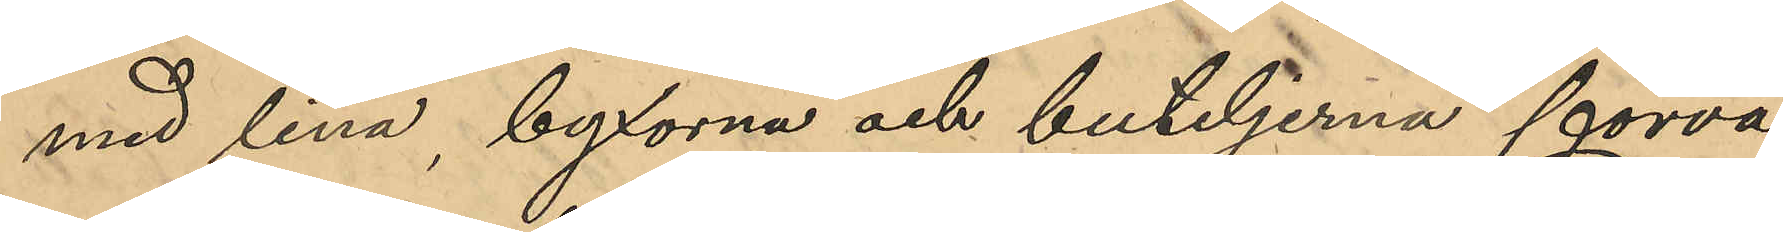med lina, byxorna och buteljerna förva¬
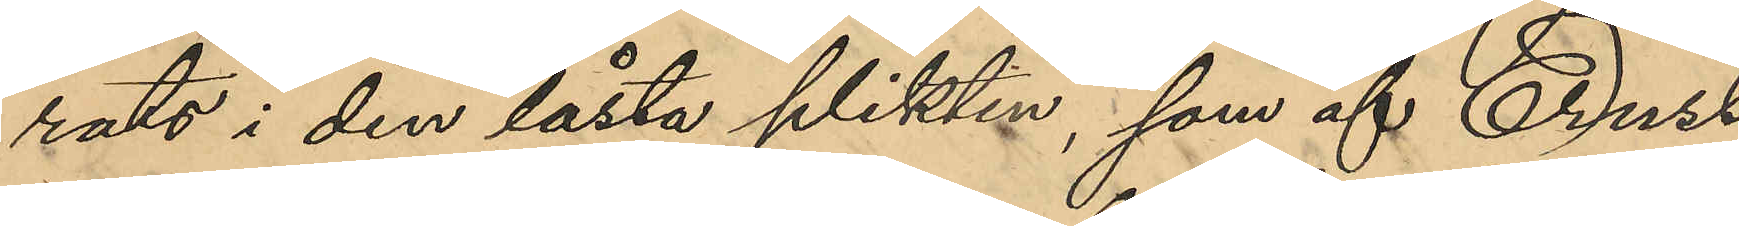rats i den låsta plikten, som af Ernst
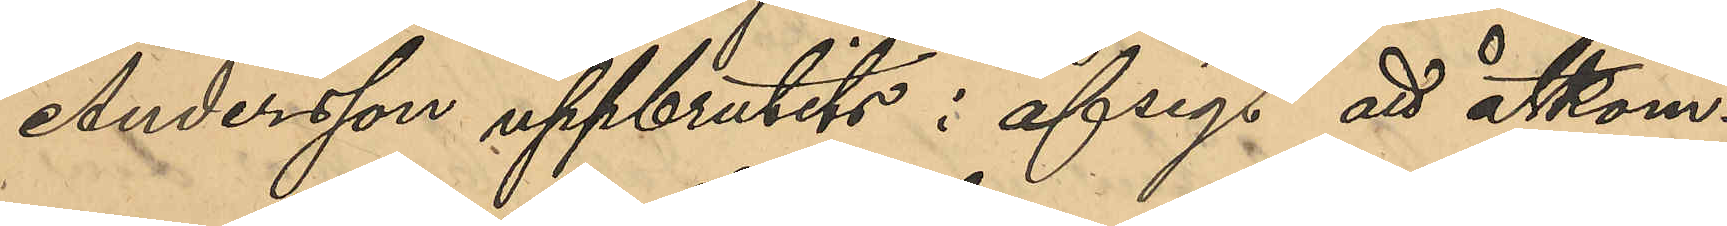Andersson uppbrutits i afsigt att åtkom¬
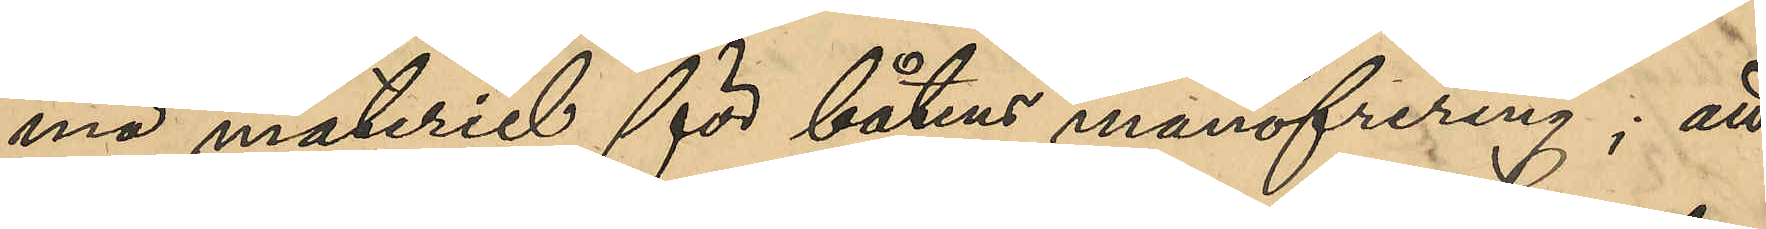ma materiel för båtens manöfrering; att
